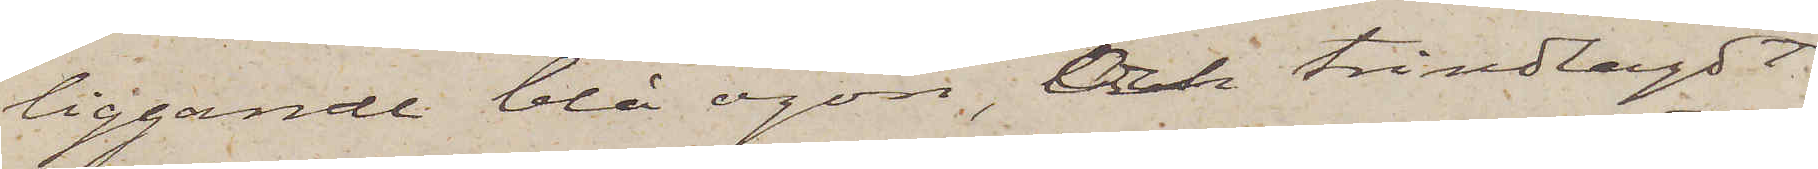liggande blå ögon, och trindlagdt
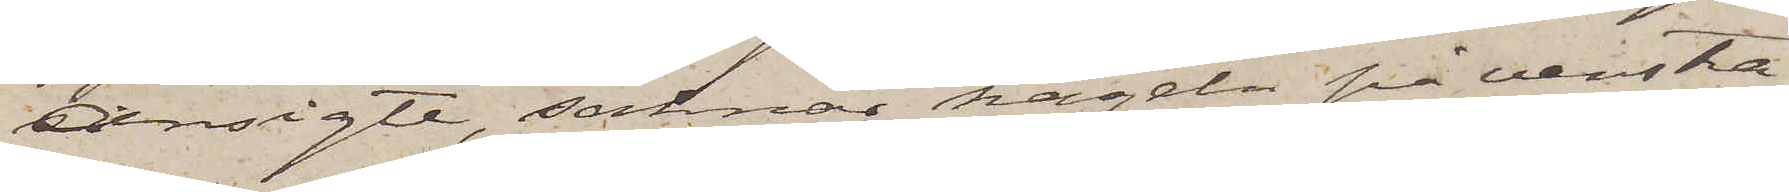ansigte, saknas nageln på venstra
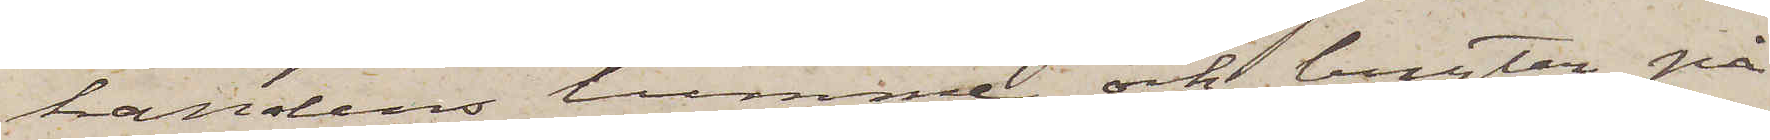handens tumme och bryter på
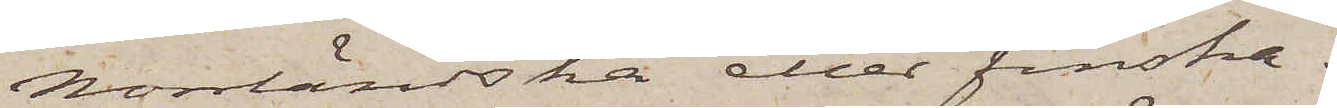Norrländska eller finska.
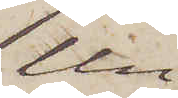Un¬
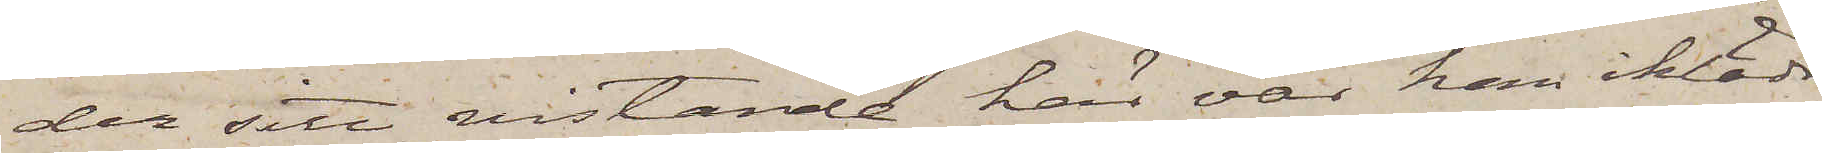der sitt vistande här var han iklädd
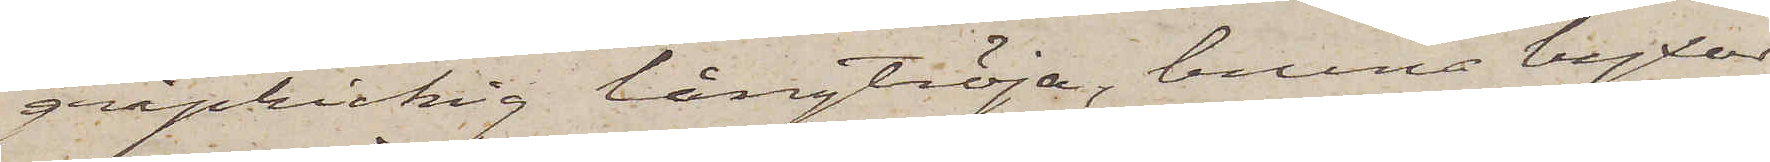gråprickig långtröja, bruna byxor
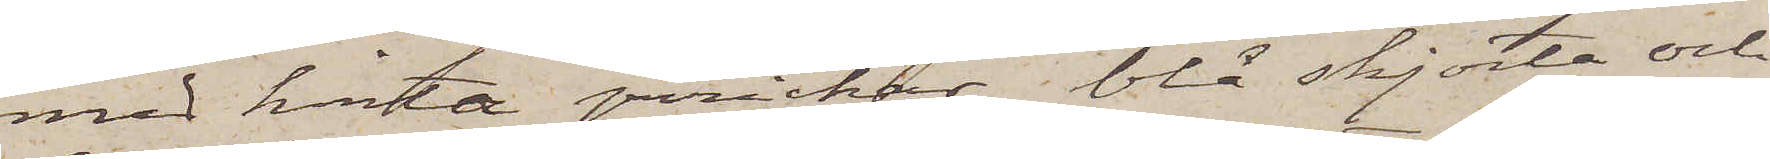med hvita prickar, blå skjorta och
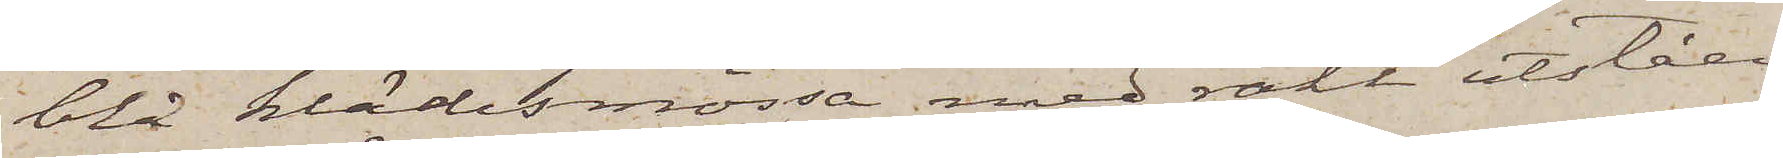blå klädesmössa med rakt utståen¬
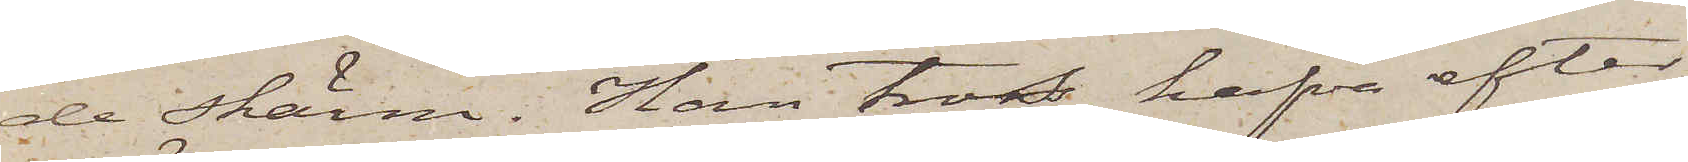de skärm. Han tros hafva efter
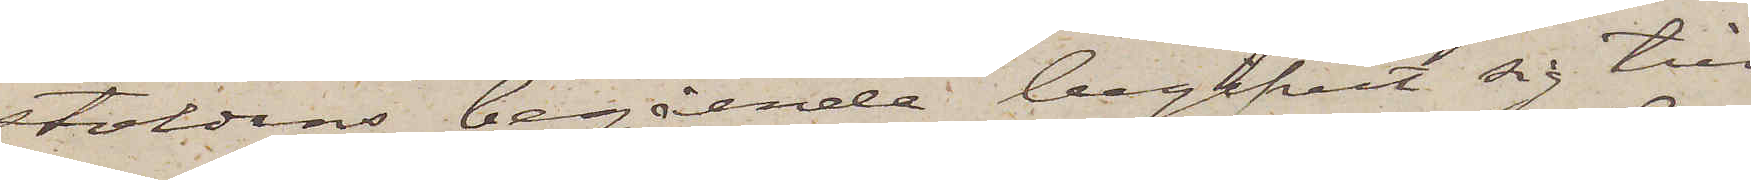stöldens begående begifvit sig till
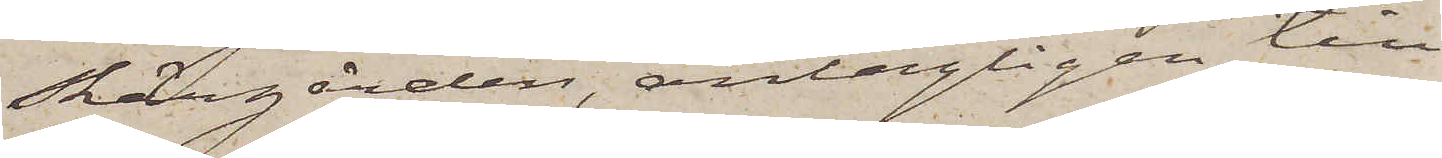Skärgården, antagligen till
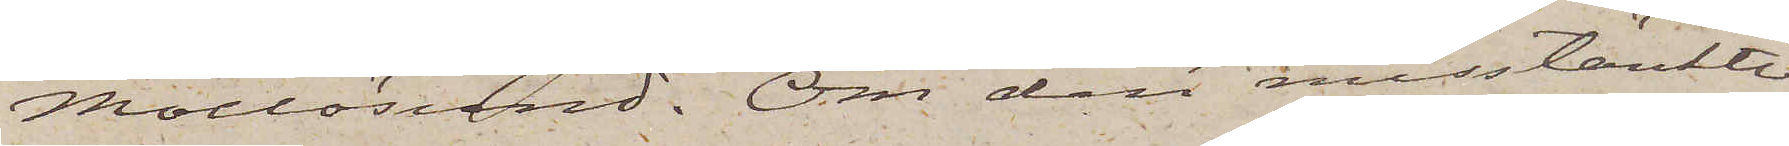Mollösund. Om den misstänkte
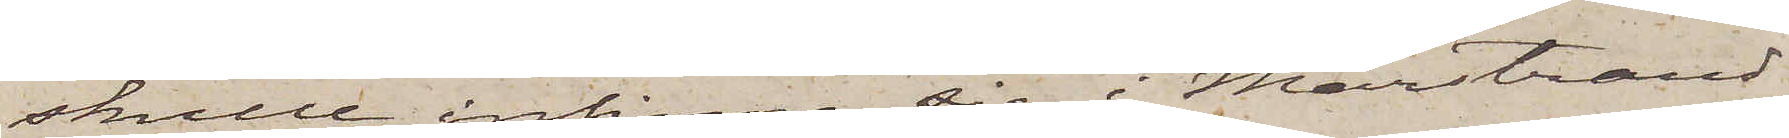skulle infinna sig i Marstrand
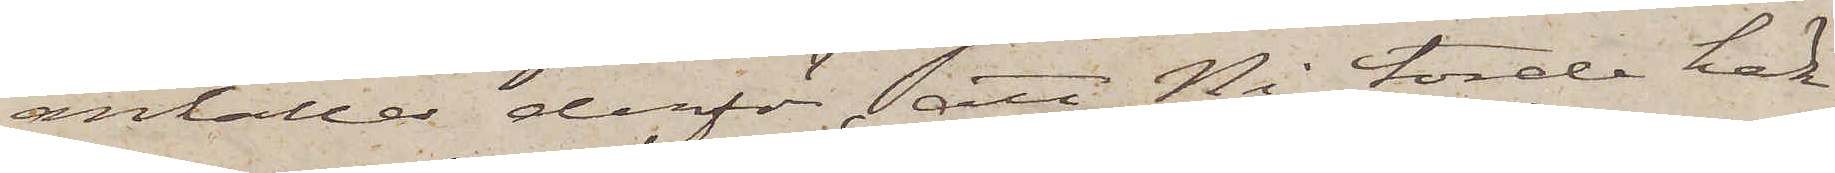anhålles derför, att Ni torde häk¬
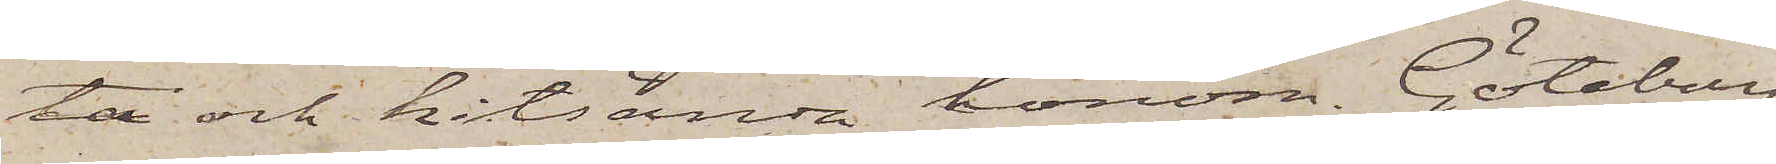ta och hitsända honom. Göteborg
